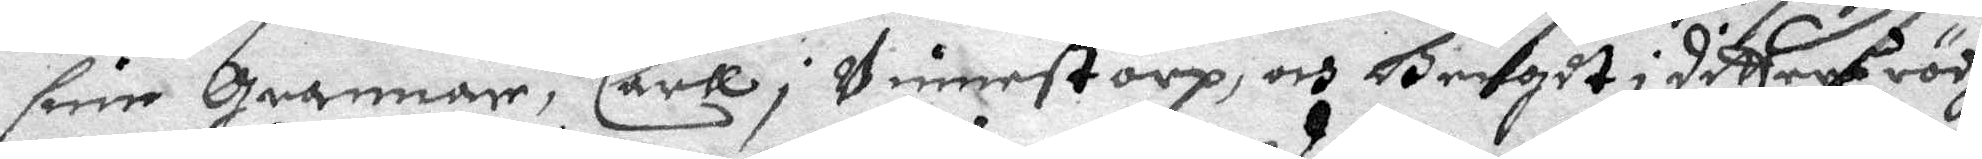sine grannar, Carll i Vinnestorp, och Bengdt i dittres rödh
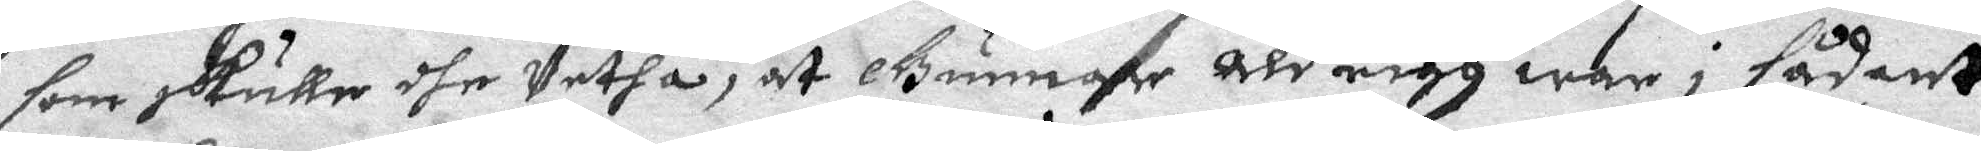som skulle dhe Vetha, at Gunnar Aldrigh war i sådant
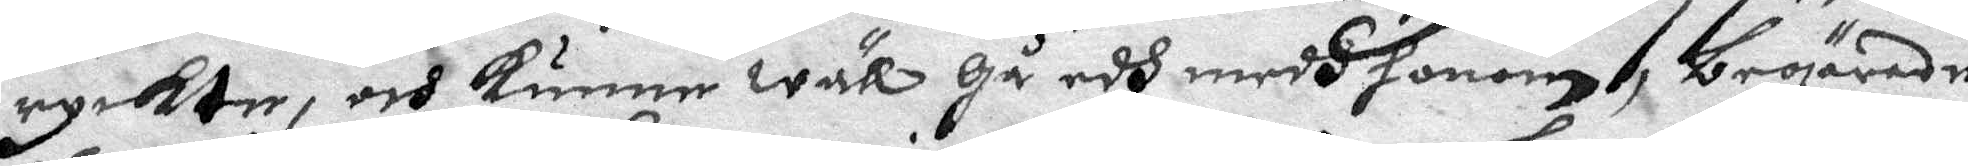ryckte, och kunne wäll gå edh medh honom, begärade
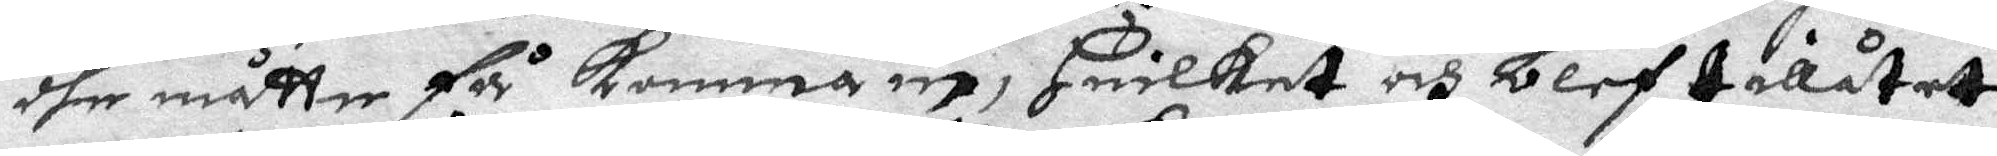dhe måtte få komma in, Huilket och blef tillåtet
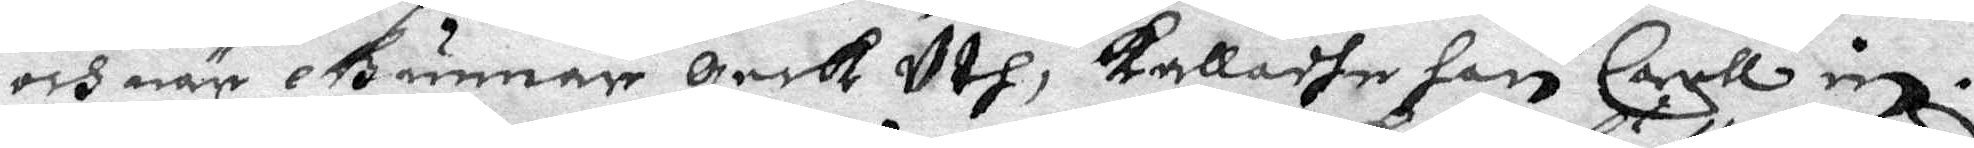och när Gunnar geck Uth, kalladhe han Carll in.
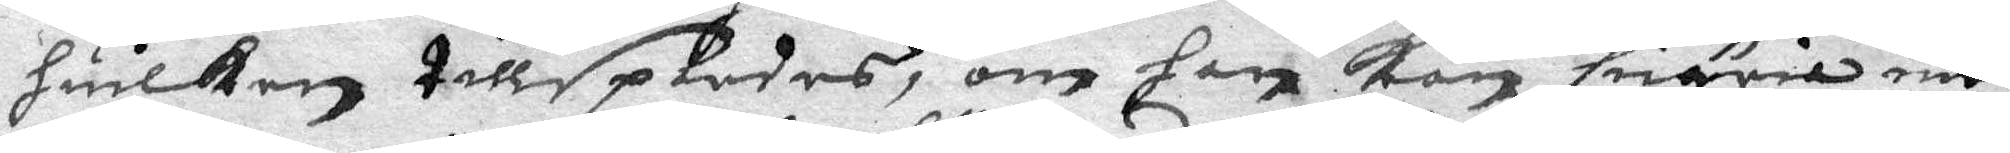huilken tillspordes, om han kan suäria med
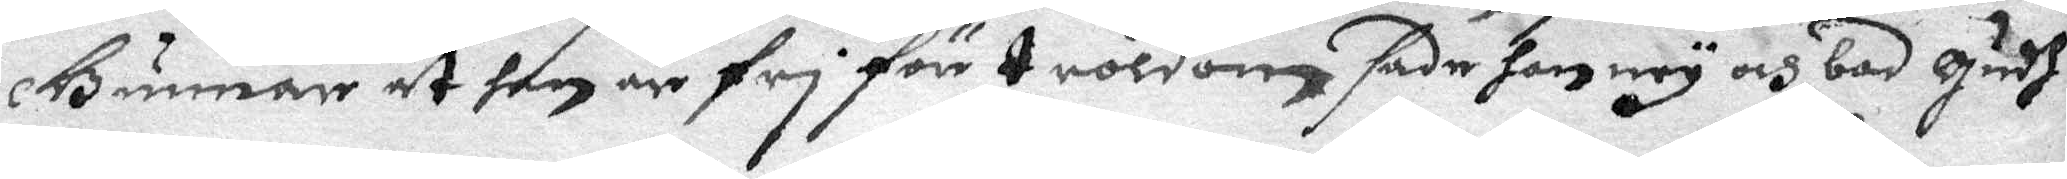Gunnar at han är fri för troldom sade han ney och bad Gudh
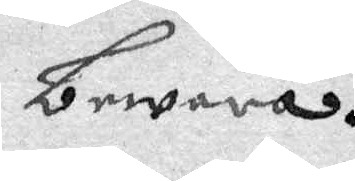bewara.
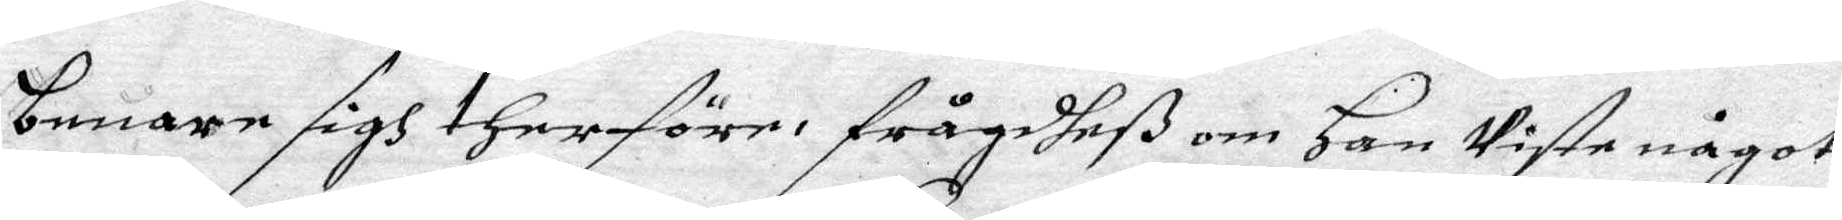beware sigh therföre. frågdheß om Han wiste något
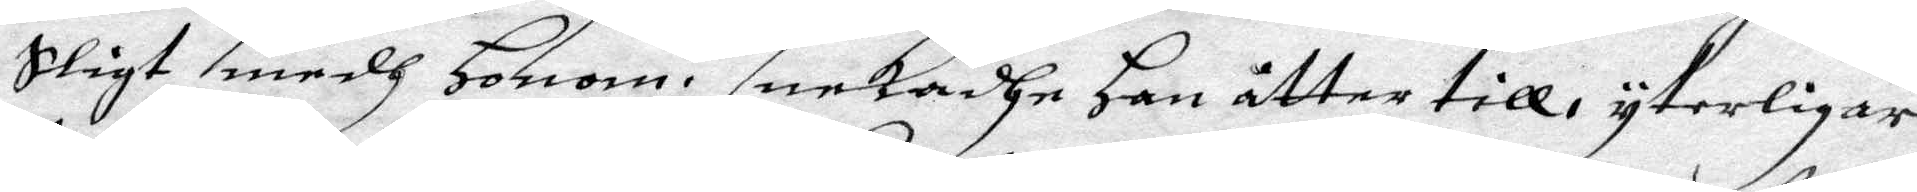sligt medh Honom. nekadhe han åtter till, yterligare
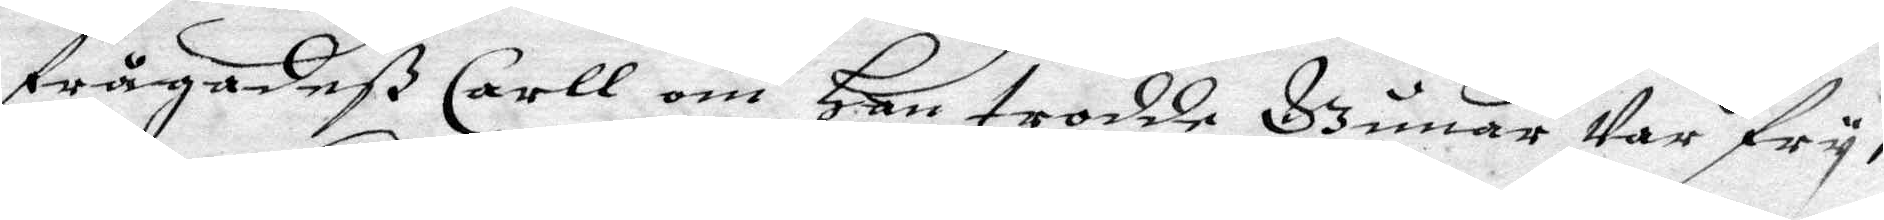frågadeß Carll om Han trodde Gunar war fry,
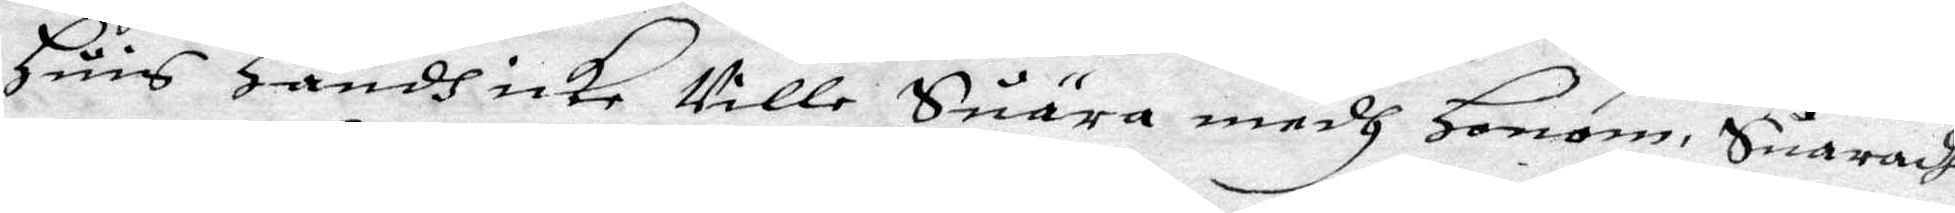Huis Handh icke wille Suära medh Honom, Suaradhe
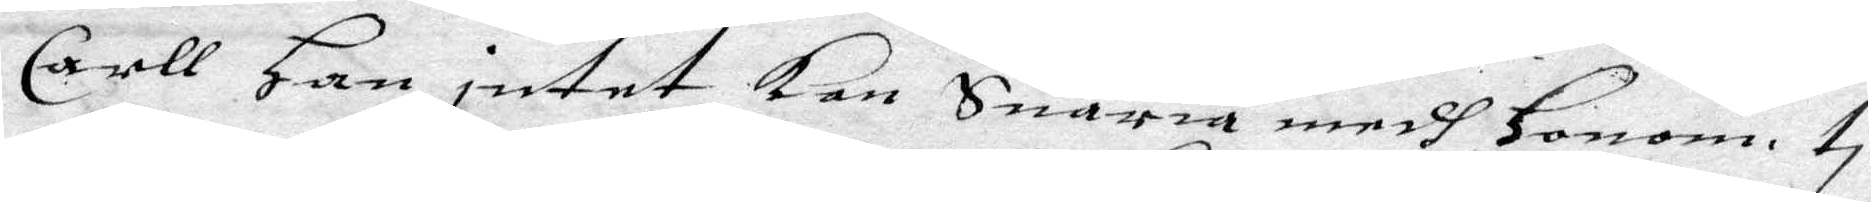Carll Han intet Kan Suäria medh Honom ti
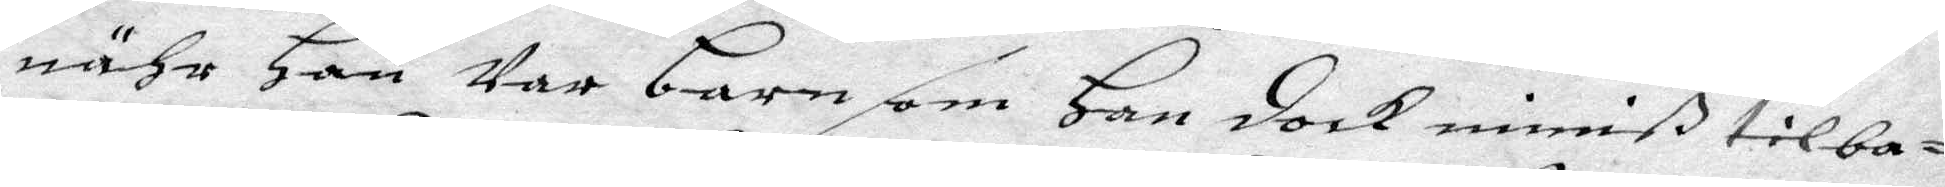nähr Han Var barn som Han doch miniß tilba¬
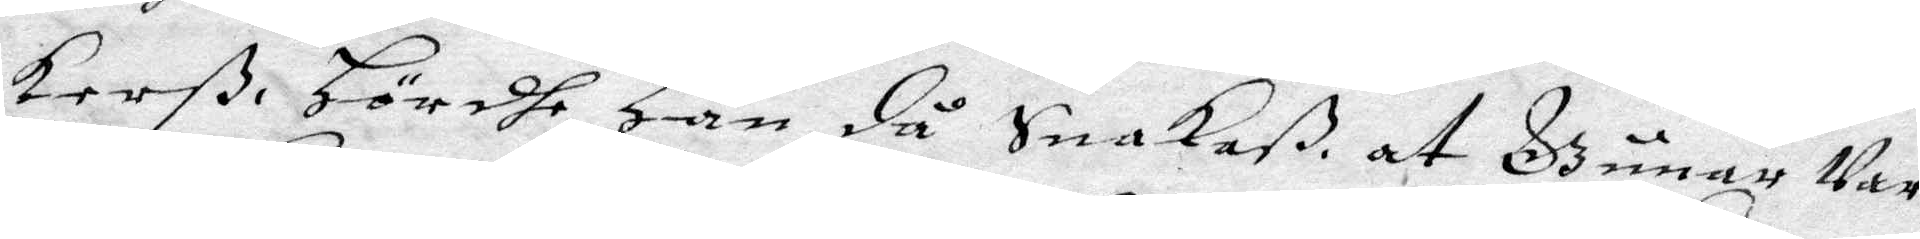kerß. Hördhe Han då Snakaß, at Gunar Var
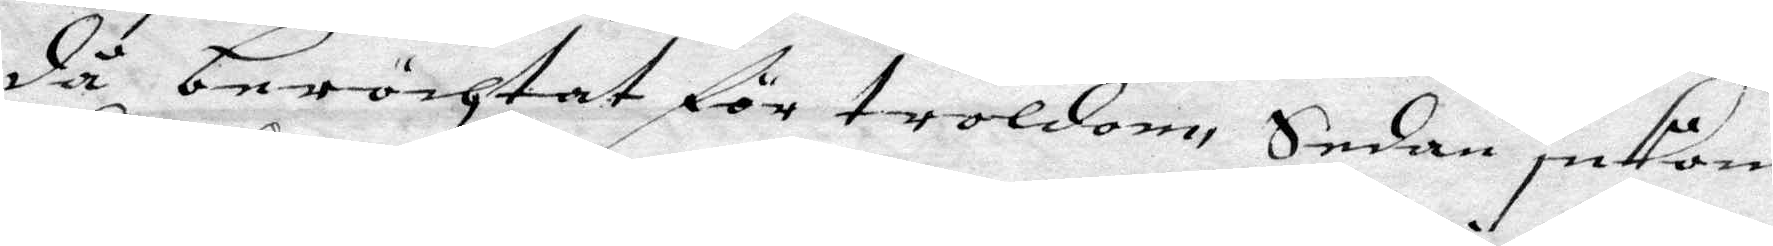då beröchtat för troldom Sedan inkom
